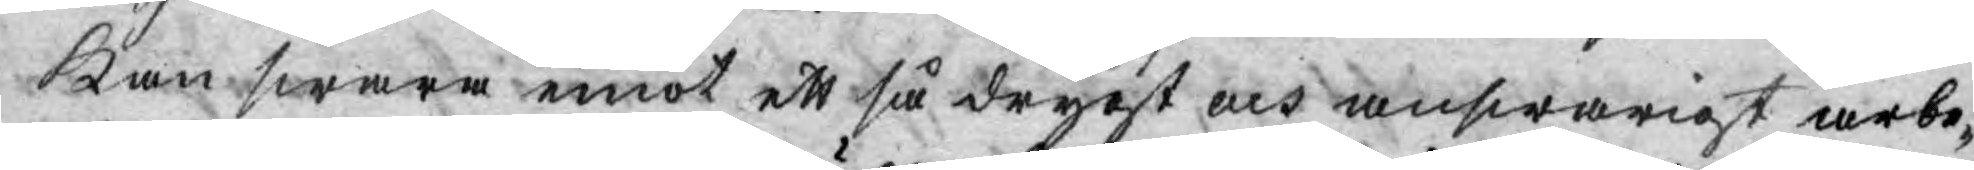kan swara emot ett så drygt och answarigt arbe¬
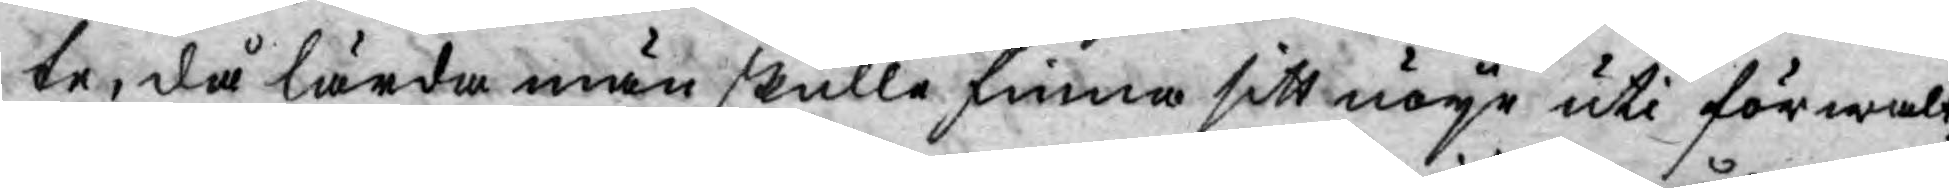te, då lärda män skulle finna sitt nöye uti förwalt¬
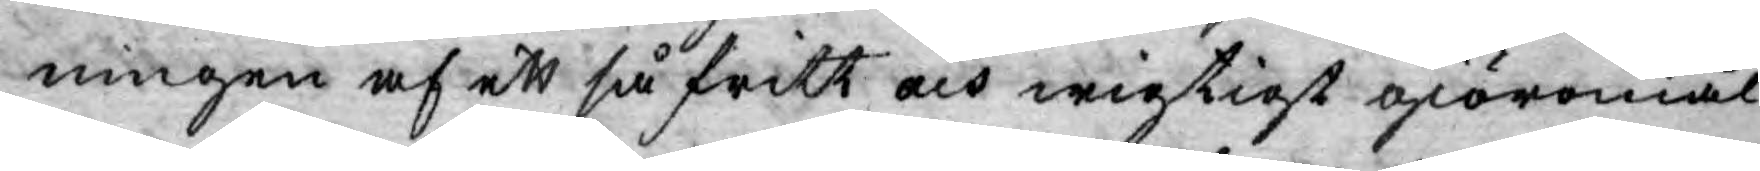ningen af ett så fritt och wigtigt giöromål.
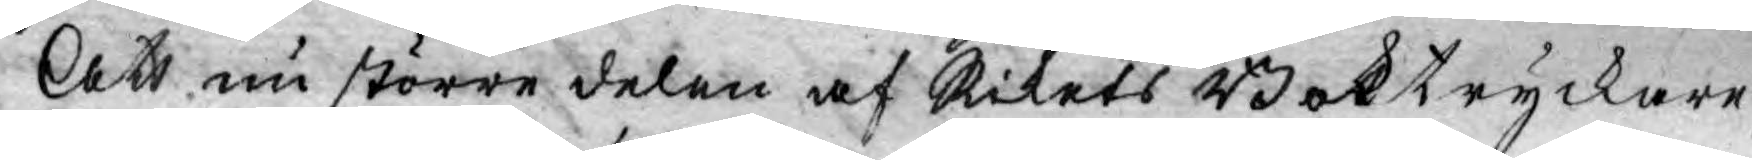Att nu större delen af Rikets Boktryckare
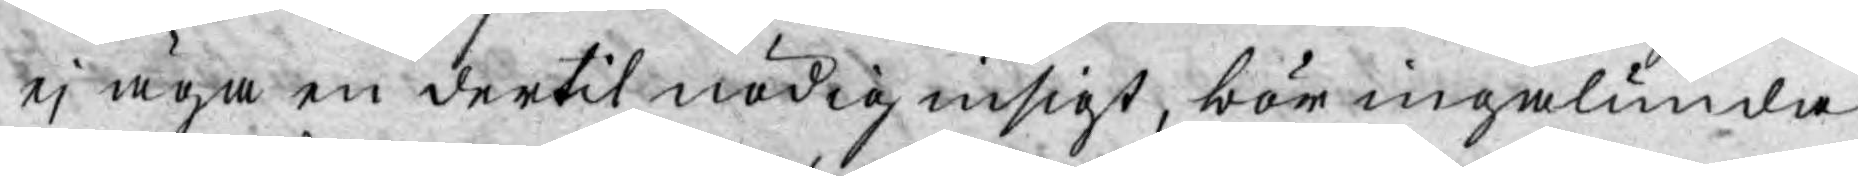ej äga en dertil nödig insigt, bör ingalunda
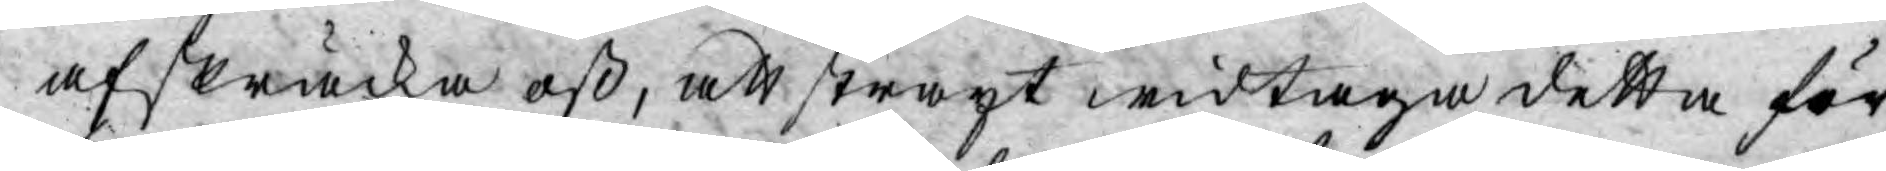afskräcka oß, att straxt widtaga detta för¬
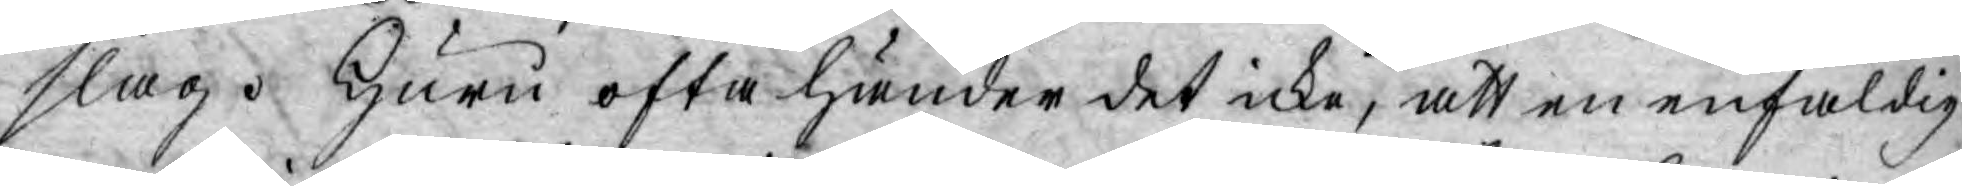slag. Huru ofta händer det icke, att en enfaldig
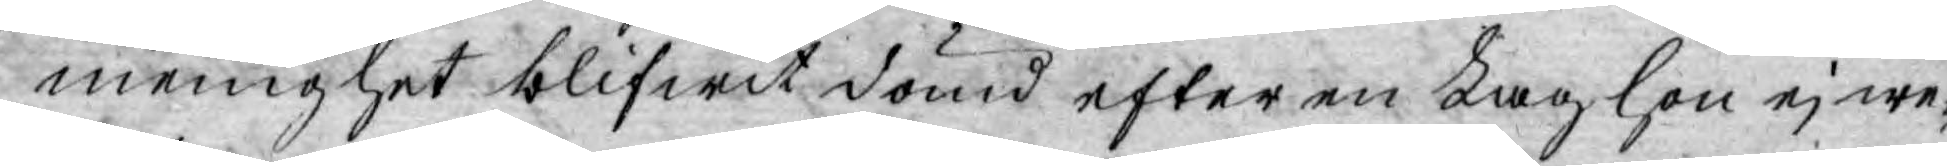menighet blifwit dömd efter en Lag hon ej we¬
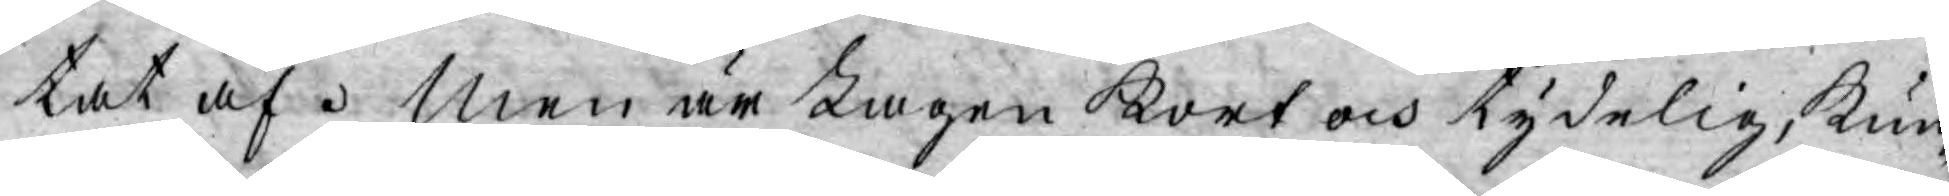tat af. Men är Lagen kort och tydelig, kun¬
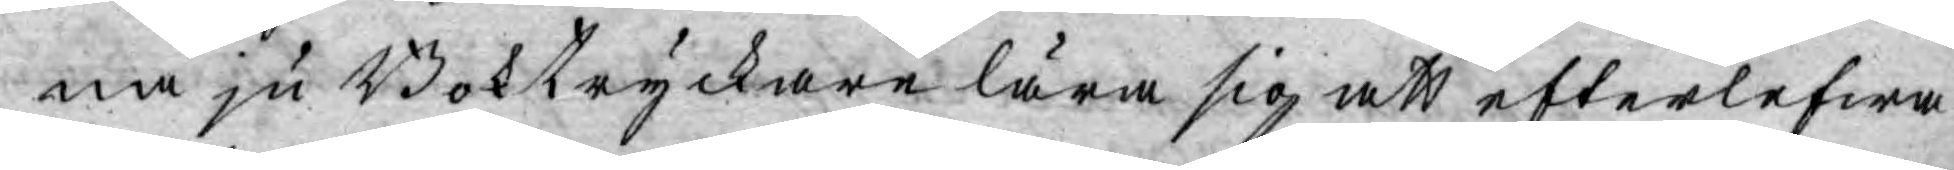na ju Boktryckare lära sig att efterlefwa
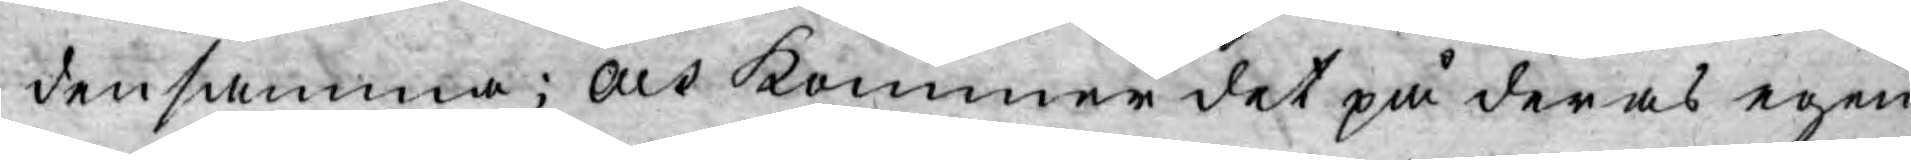densamma; och kommer det på deras egen
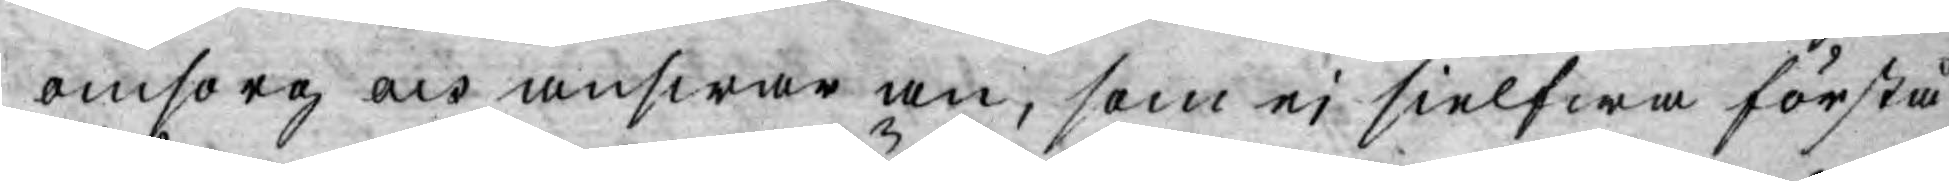omsorg och answar an, som ej sielfwa förstå
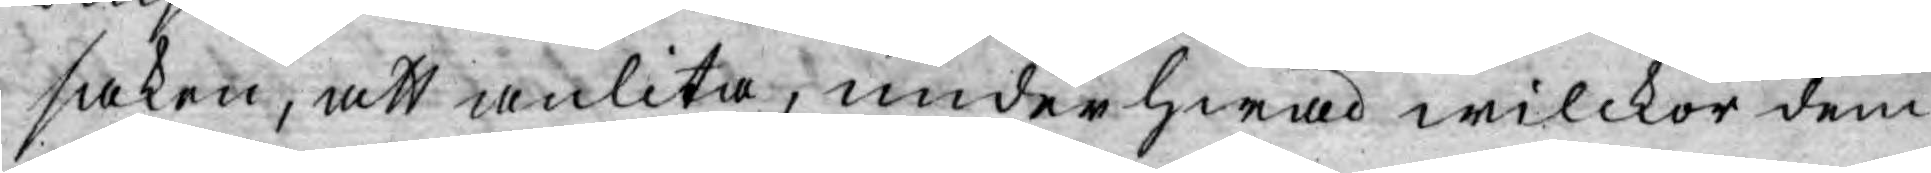saken, att anlita, under hwad wilckor dem
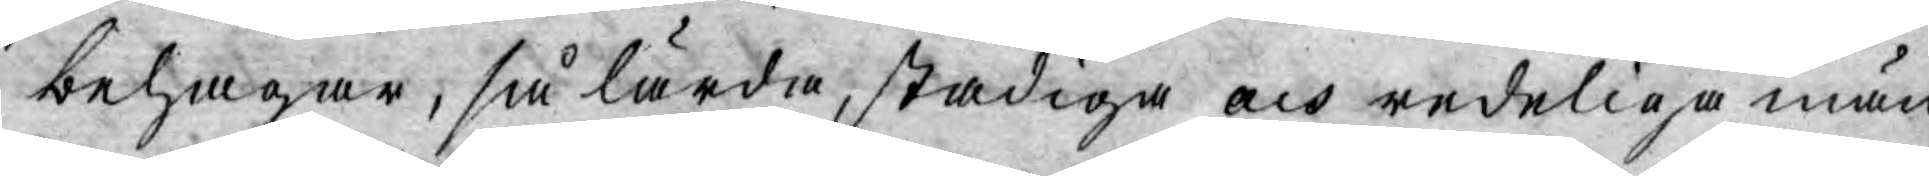behagar, så lärda; stadiga och redeliga män
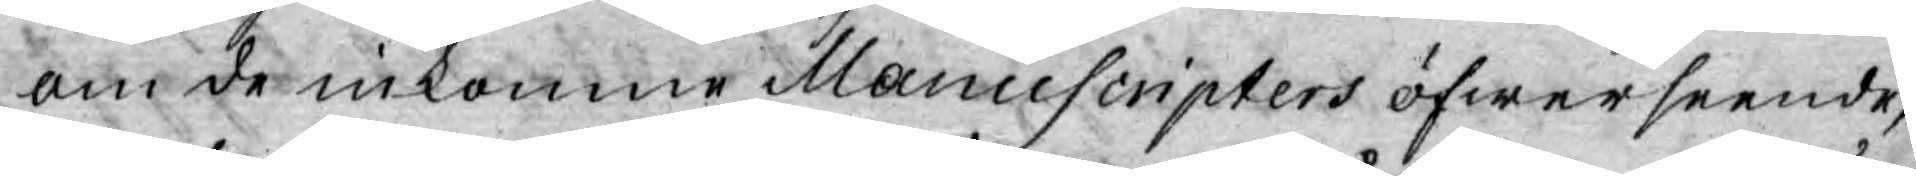om de inkomne Manuscripters öfwerseende,
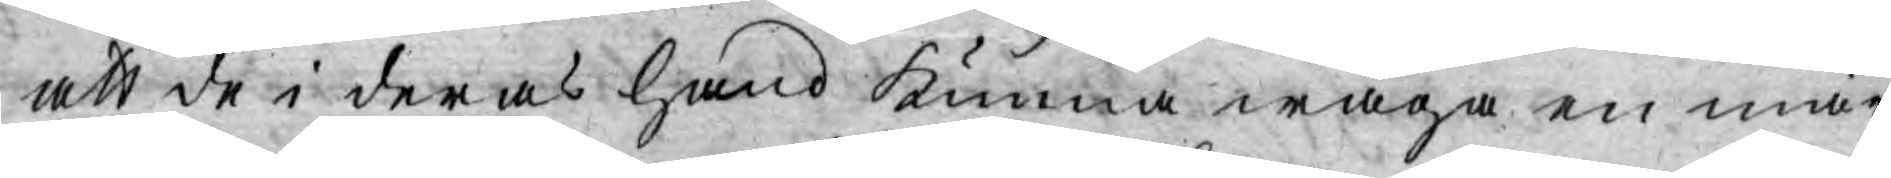att de i deras hand kunna wåga en mär¬
